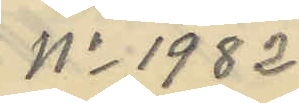No 1982
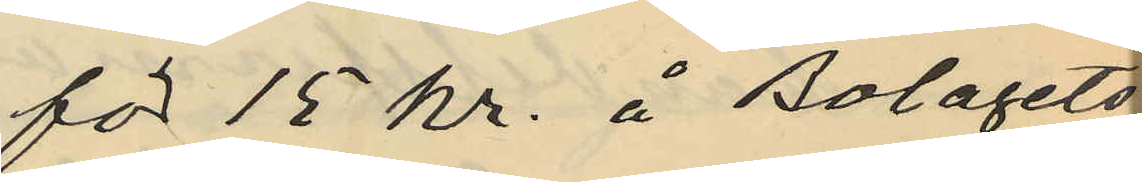för 15 kr. å Bolagets
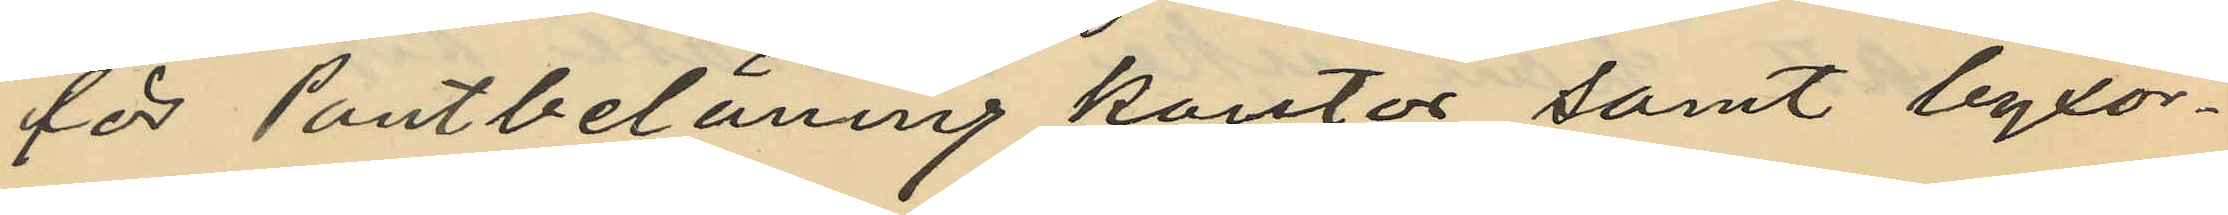för Pantbelåning kontor samt byxor¬
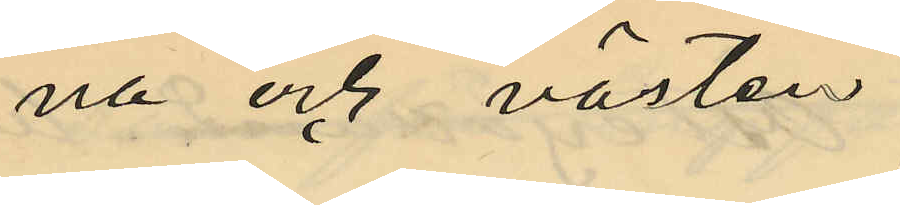na och västen.
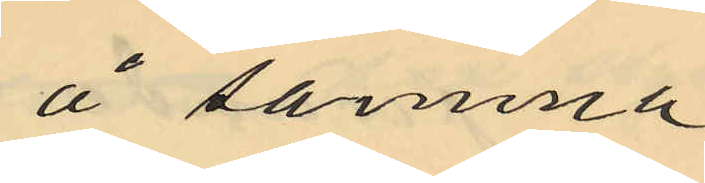å samma
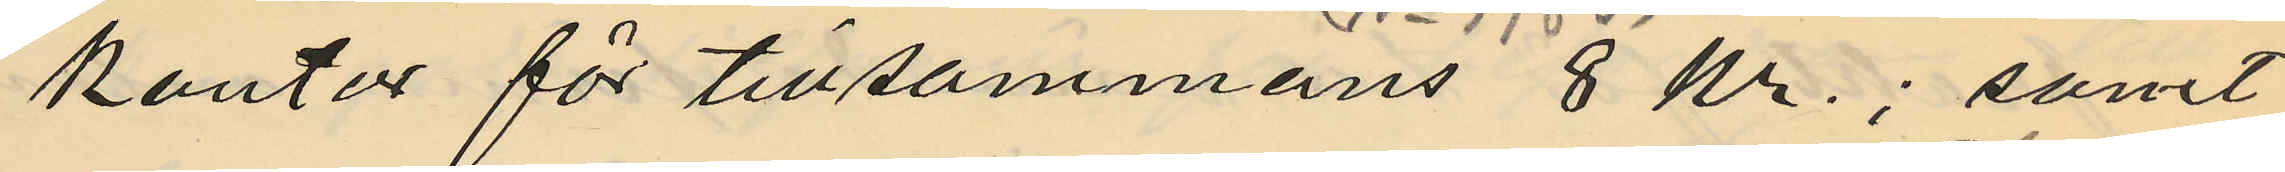kontor för tillsammans 8 Kr; samt
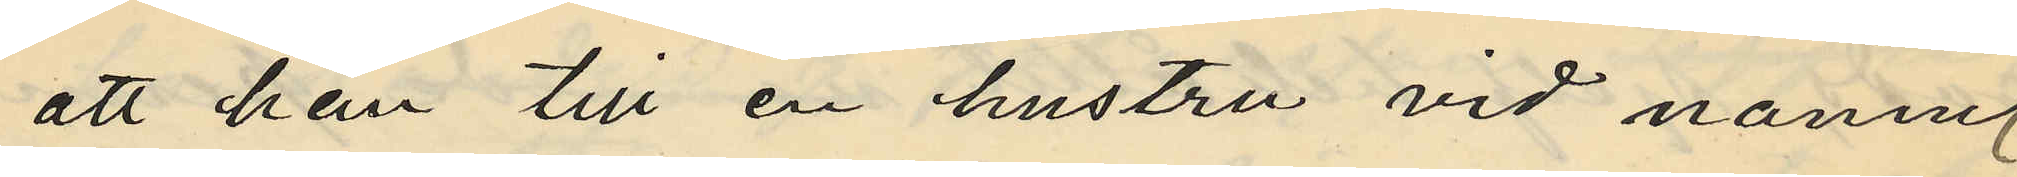att han till en hustru vid namn
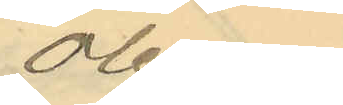Olena
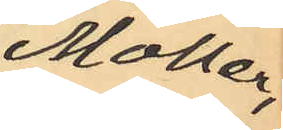Möller,
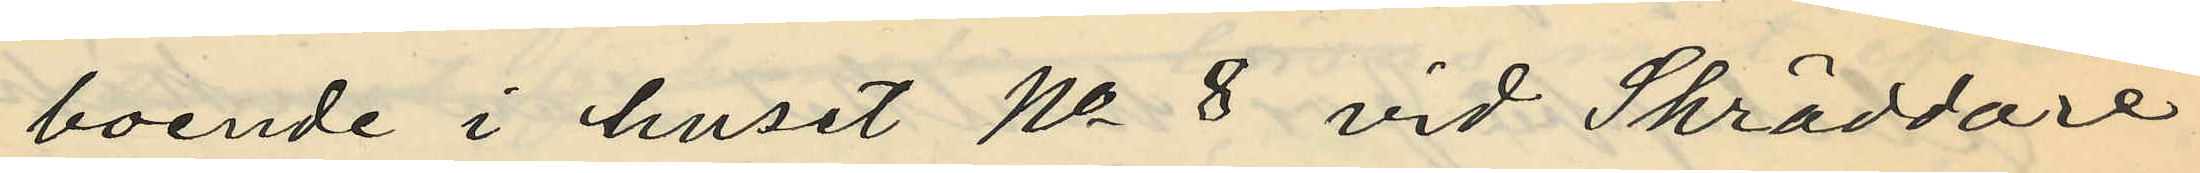boende i huset No 8 vid Skräddare¬
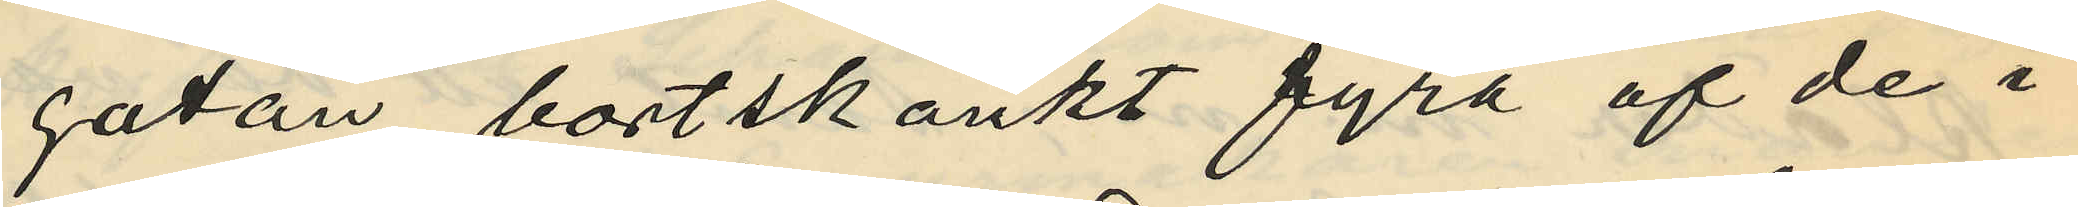gatan, bortskänkt fyra af de i
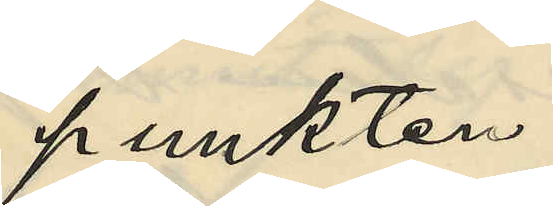punkten
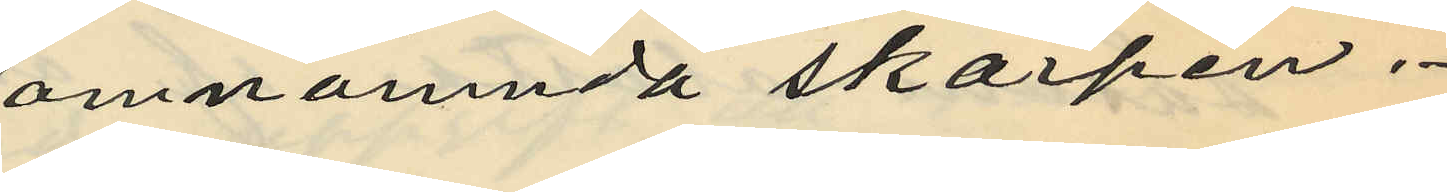omnämnda skärpen.
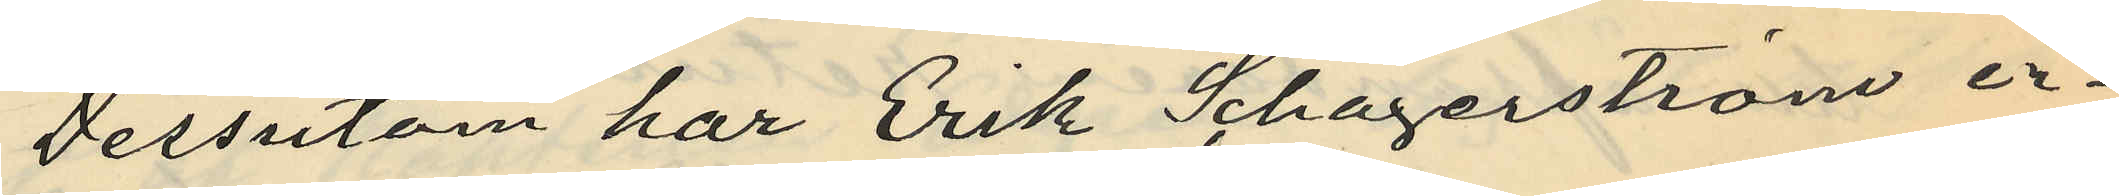Dessutom har Erik Schagerström er¬
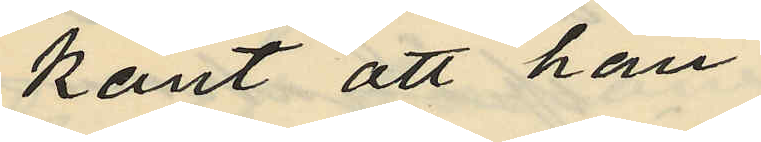känt att han
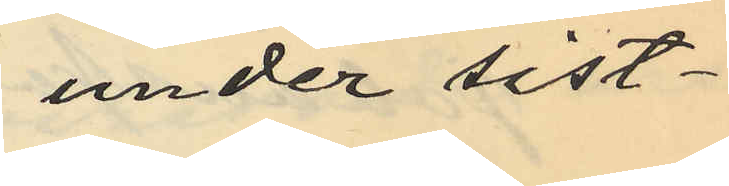under sist¬
